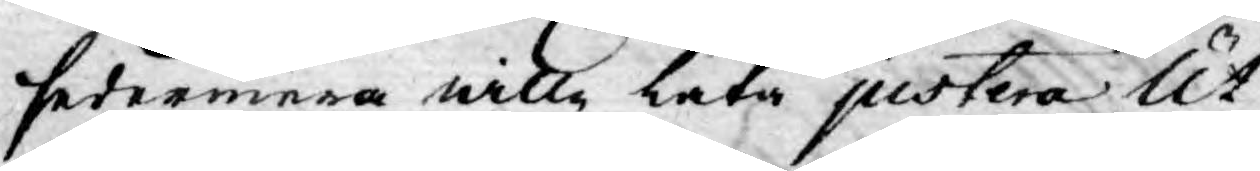sedermera wille låta justera Ut¬
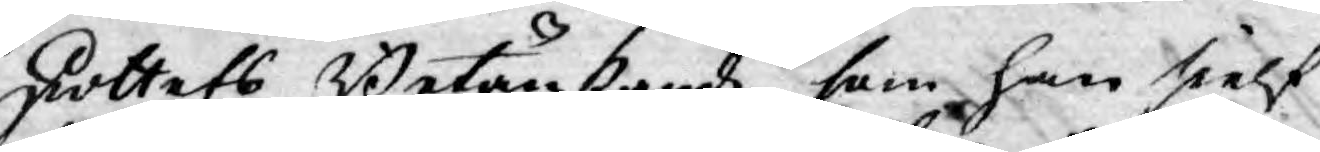skottets Betänkande som han sielf
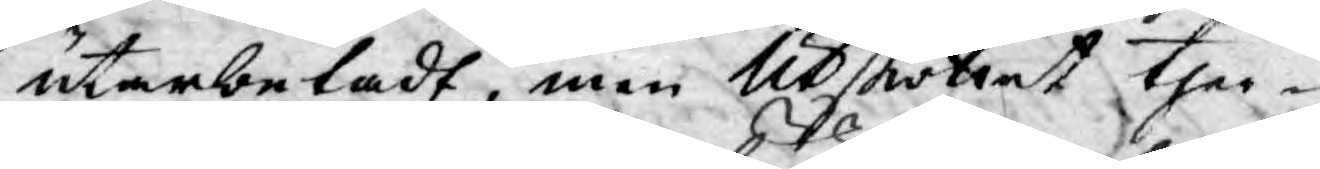utarbetadt, men Utskottet ther¬
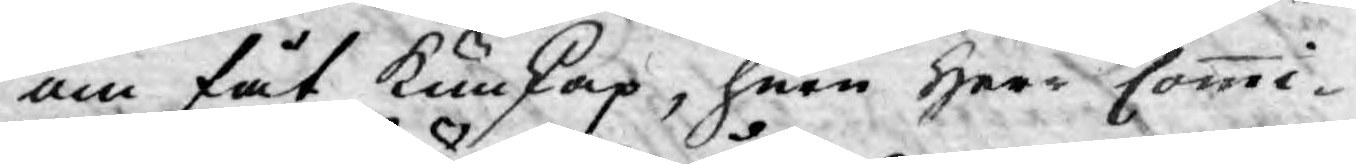om fåt Kunskap, huru Herr Commi¬
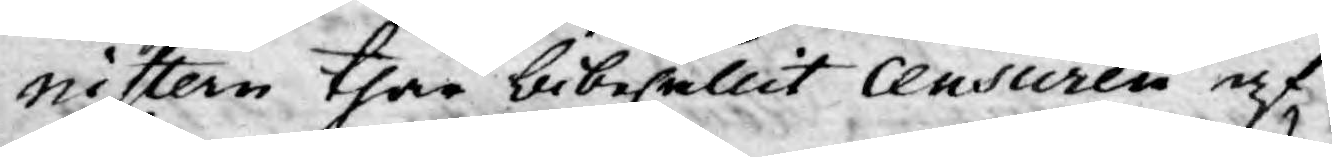nistern thär bibehållit Censuren af
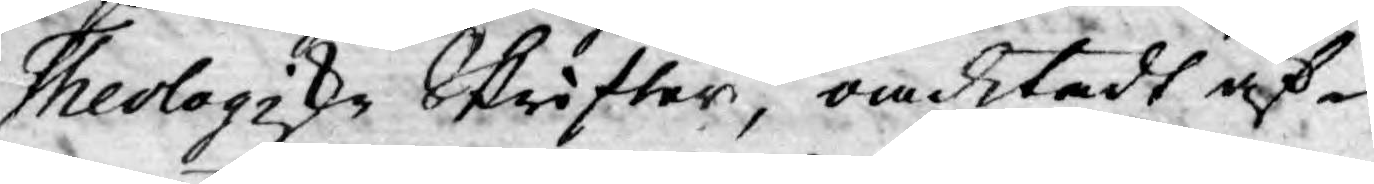Theologiske Skrifter, omditadt äf¬
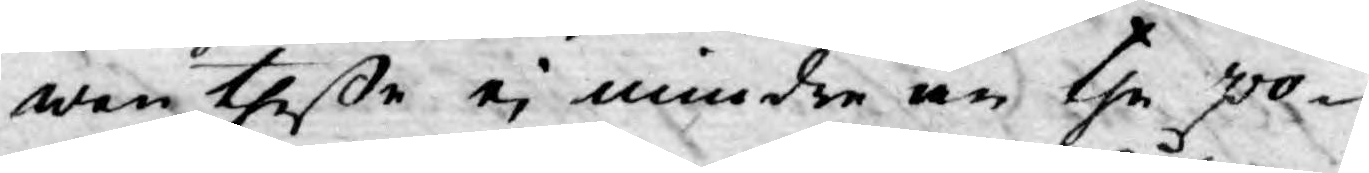wen theße ej mindre än the po¬
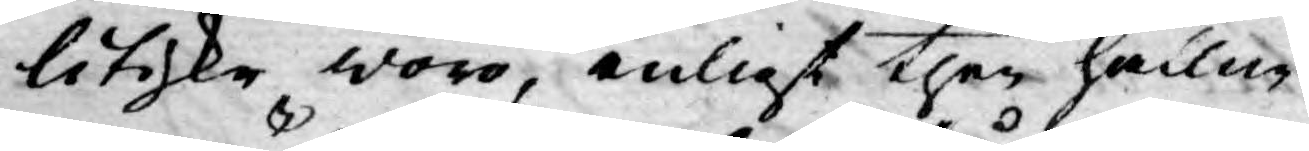litiske woro, enligt ther hållne
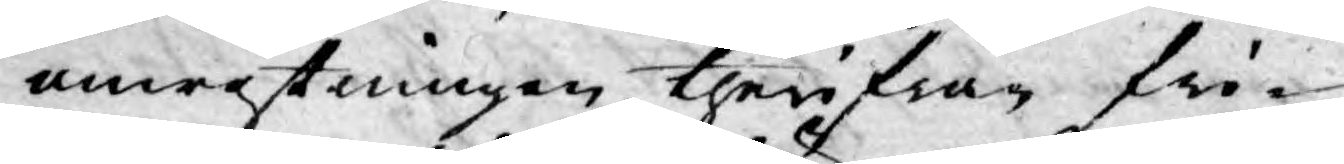omröstningen therifrån fri¬
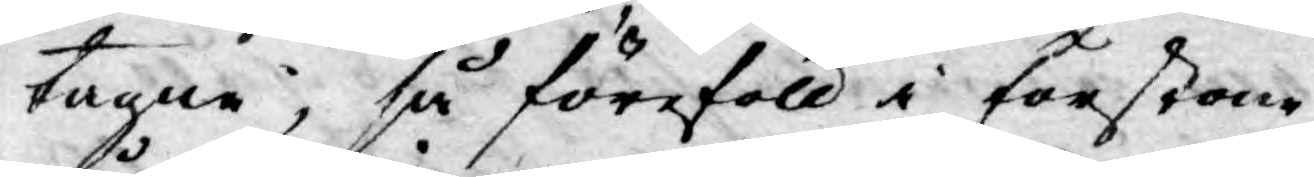tagne, så föreföll i förstone
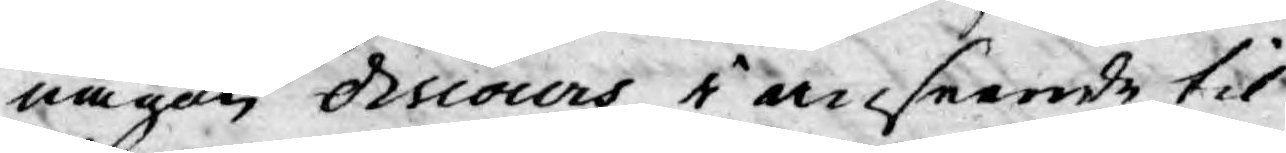någon discours i anseende til
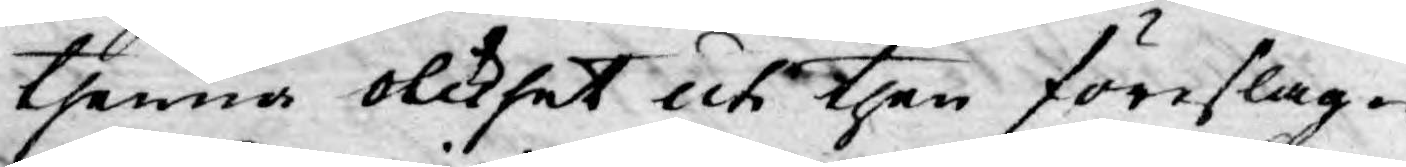thenna olikhet uti then föreslag¬
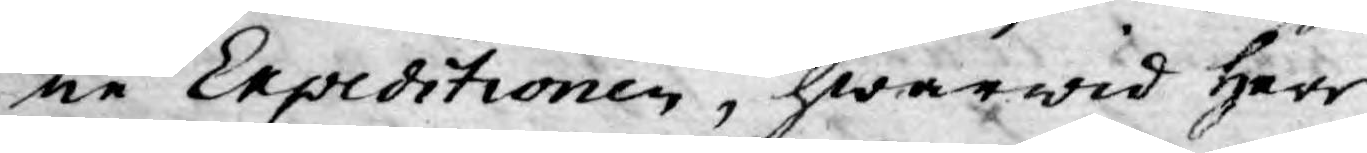ne Expeditionen, hwarwid Herr
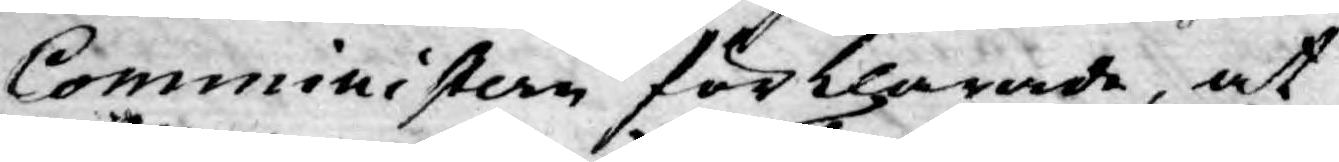Comministern förklarade, at
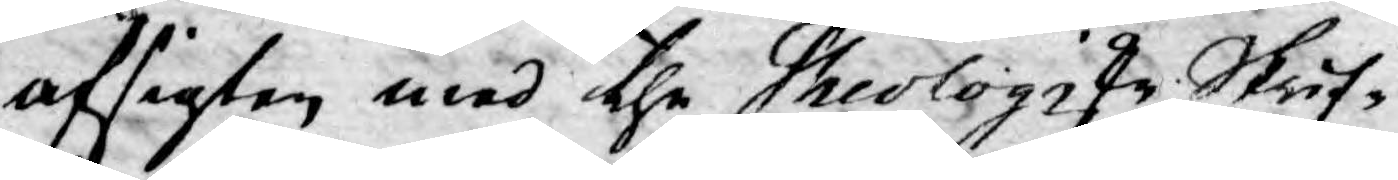afsigten med the Theologiske Skrif¬
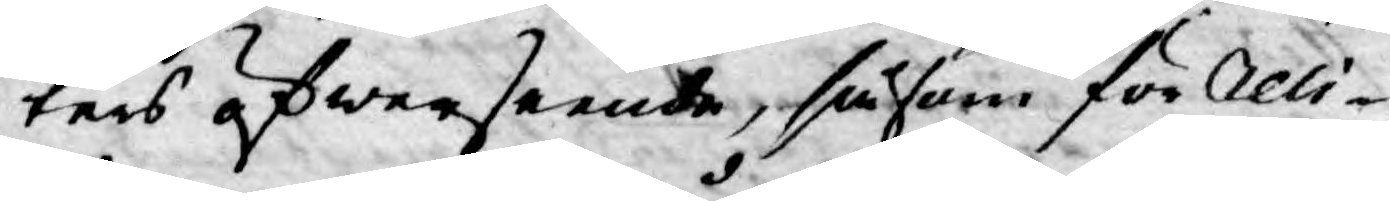ters öfwerseende, såsom för Reli¬
